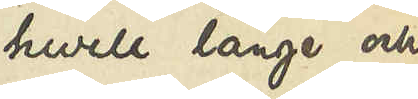huru länge och
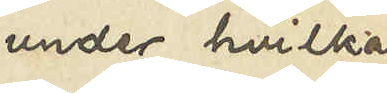under hvilka
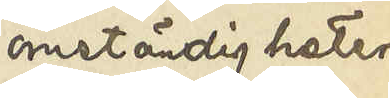omständigheter
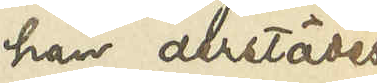han derstädes
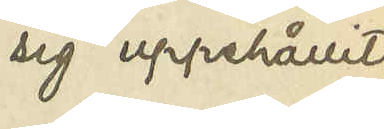sig uppehållit,
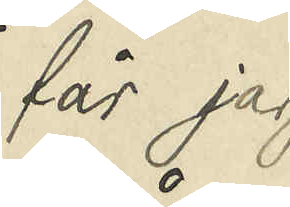får jag
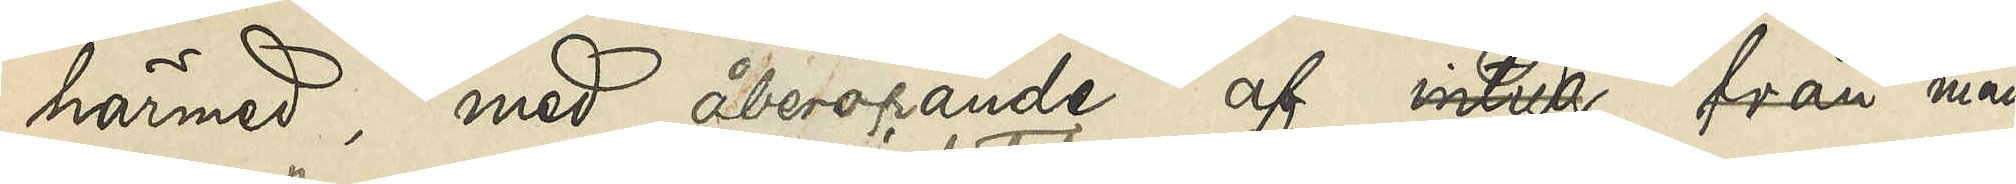härmed, med åberopande af intyg från man¬
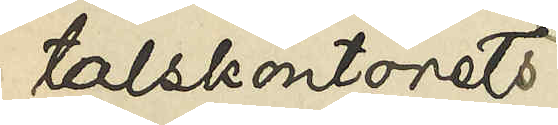talskontoret
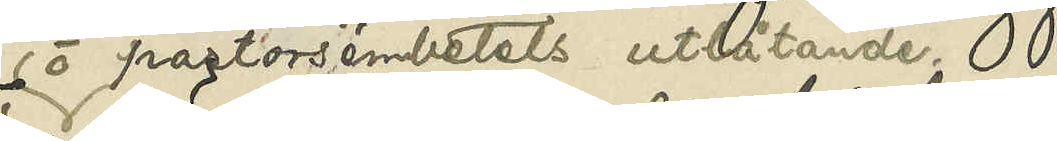o pastorsembetets utlåtande,
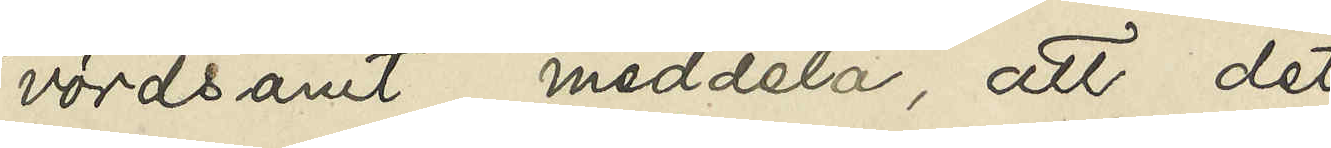vördsamt meddela, att det
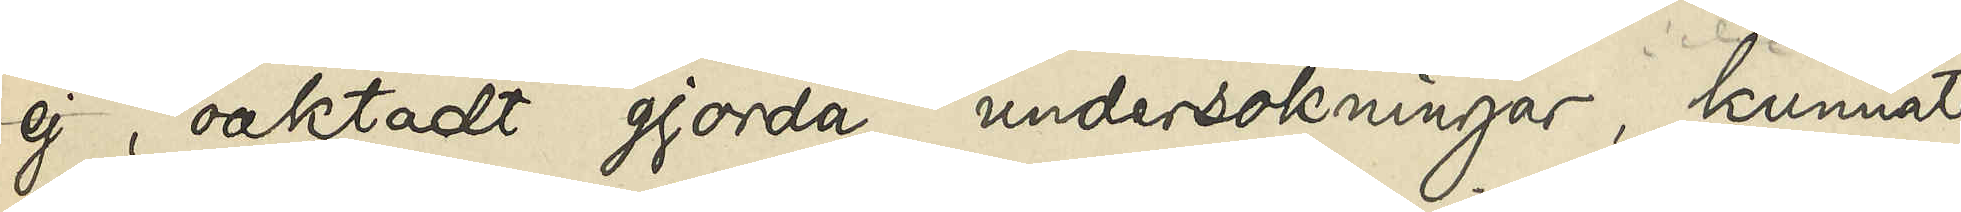ej, oaktadt gjorda undersökningar, kunnat
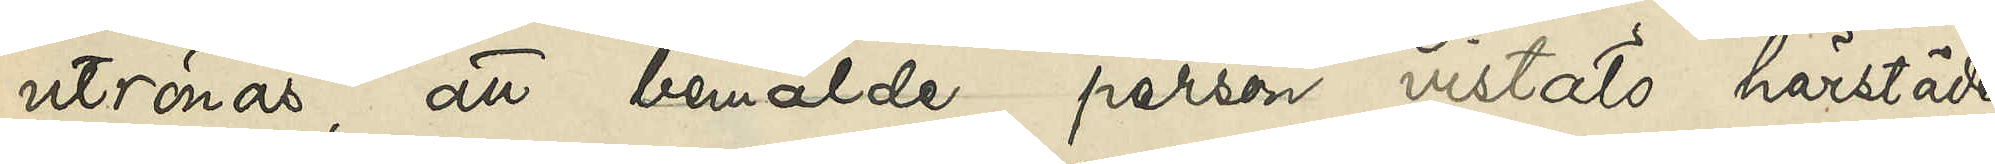utrönas, att bemälde person vistats härstädes.
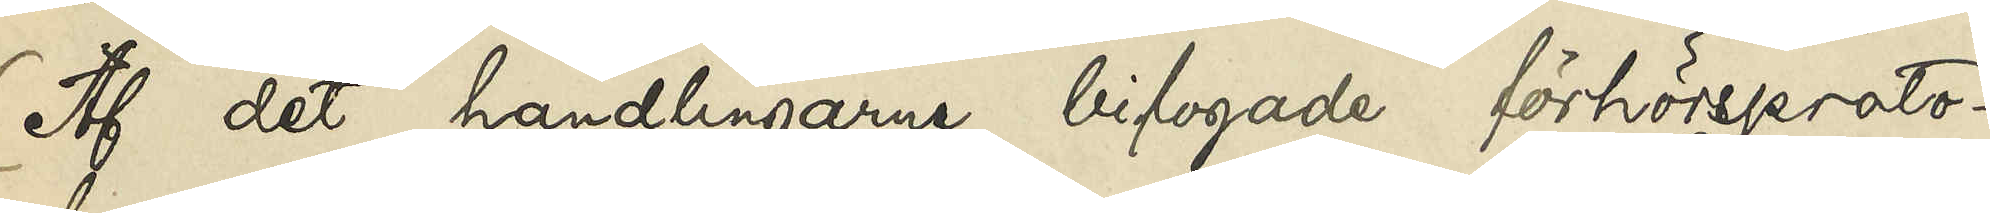Af det handlingarne bifogade förhörsproto¬
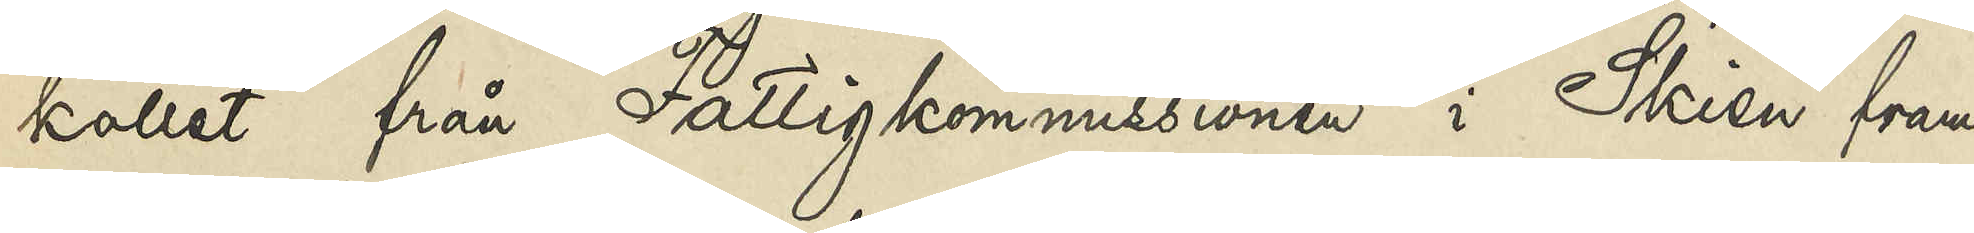kollet från Fattigkommissionen i Skien fram¬
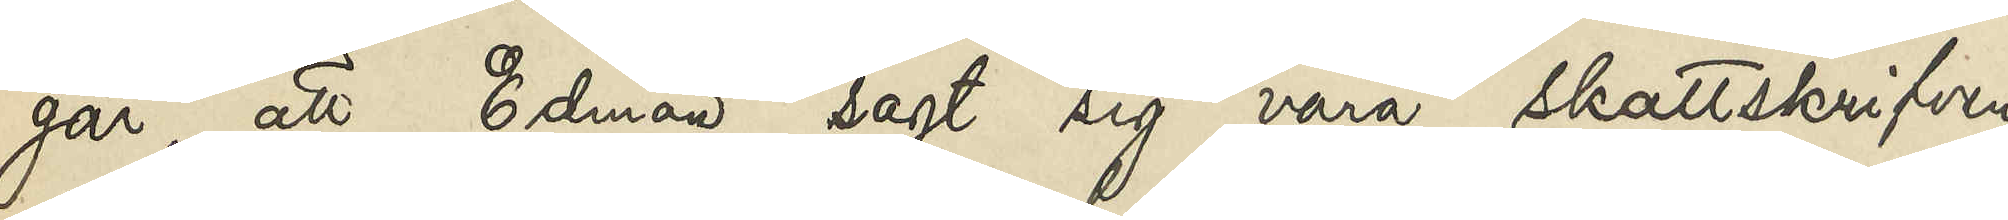går att Edman sagt sig vara skattskrifven
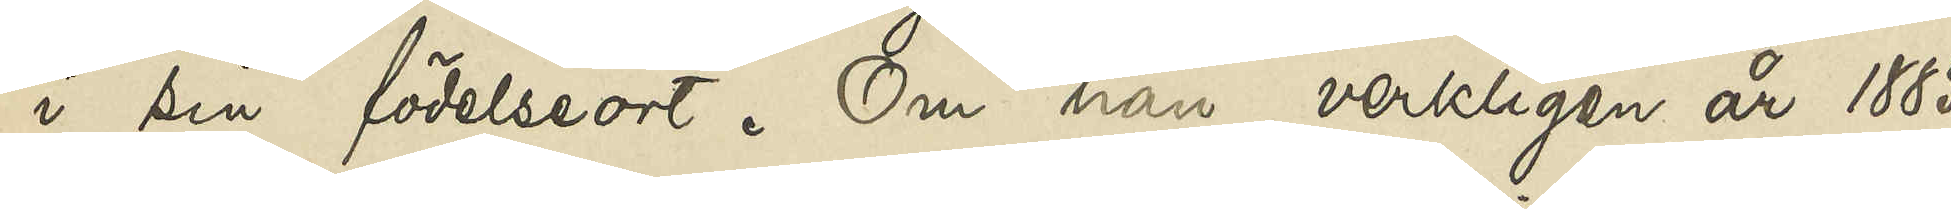i sin födelseort. Om han verkligen år 1885
